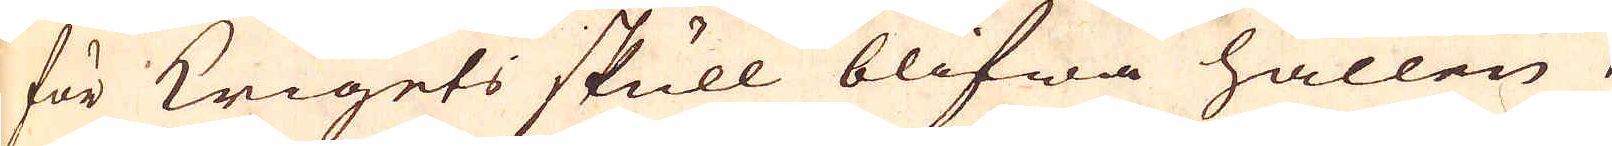för Krigets skull blifwa hållen
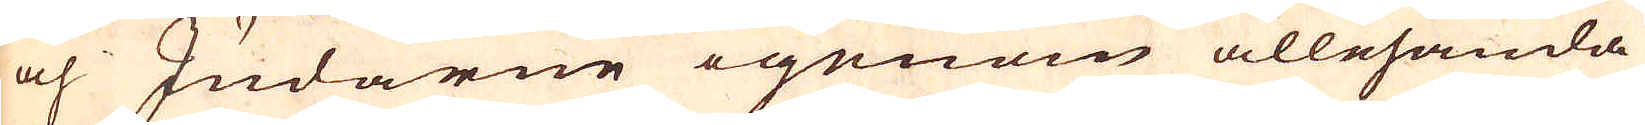och Judarne igenom allehanda
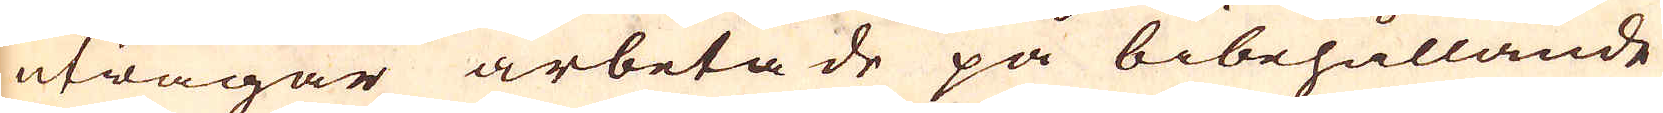utwägar arbetade på bibehållande
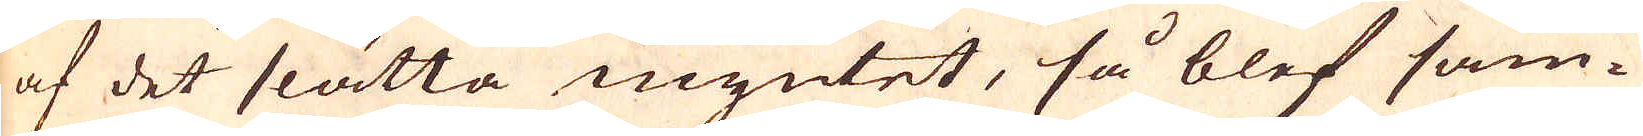af det slätta myntet, så blef sam-
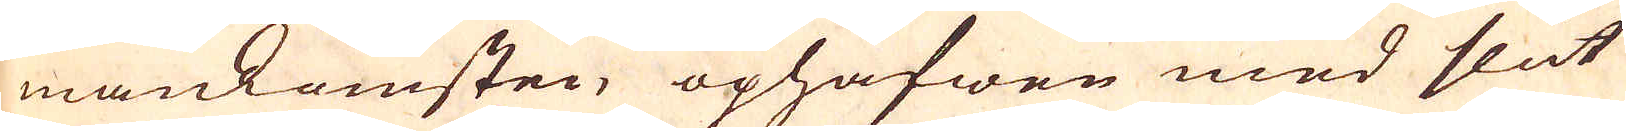mankomsten ophäfwen med slut
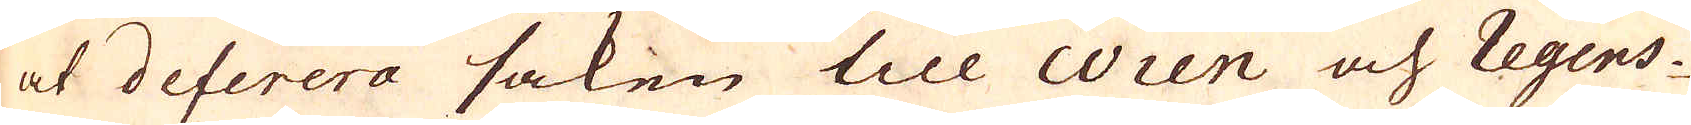at deferera saken till Wien och Regens-
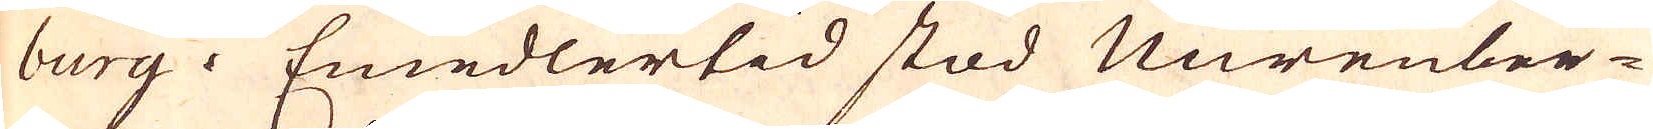burg. Emedlertid stod Nürenber-
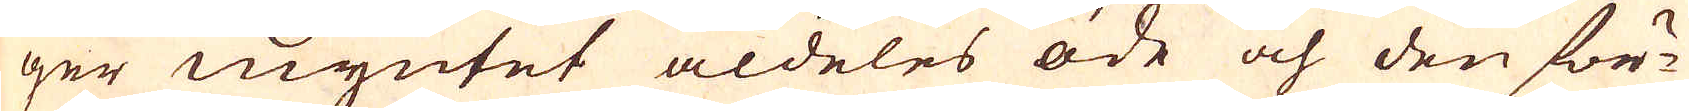ger myntet aldeles öde och den för-
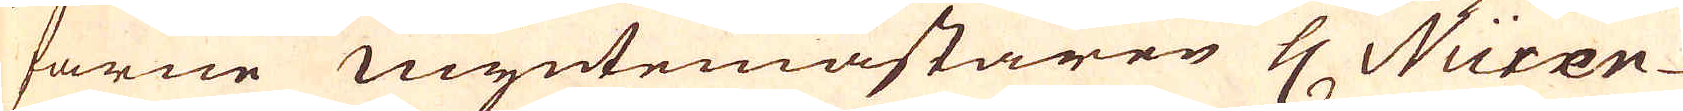farne myntemästaren H Nüxen-
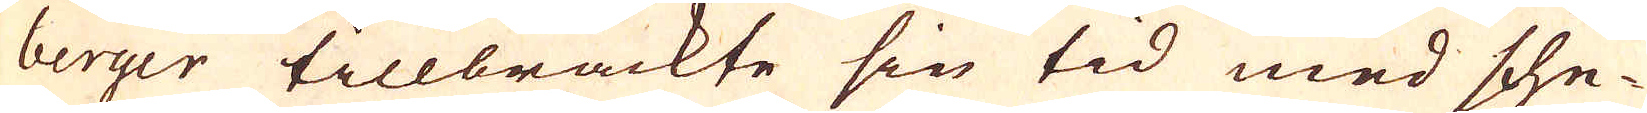berger tillbrackte sin tid med sche-
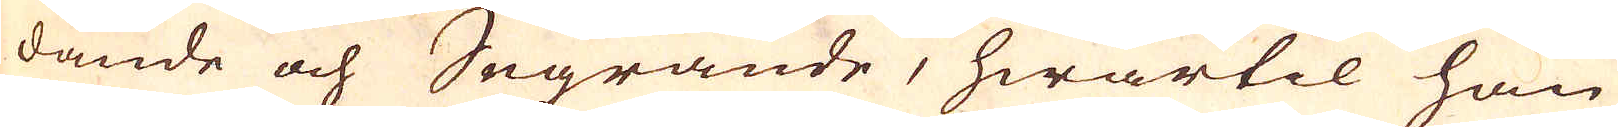dande och Segrande, hwartil han
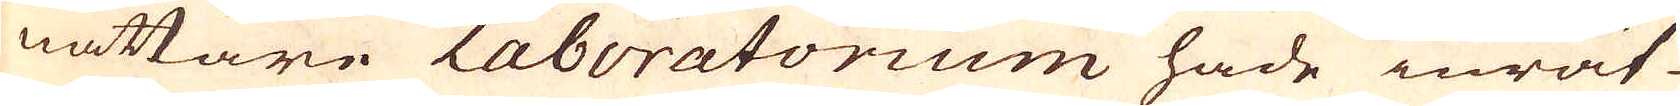nättare Laboratorium hade inrät-
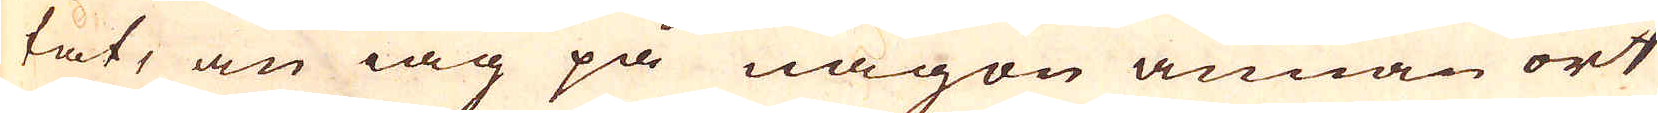tat, än iag på någon annan ort
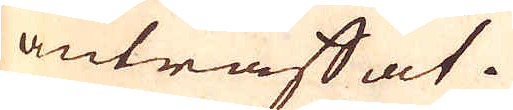anträffat.
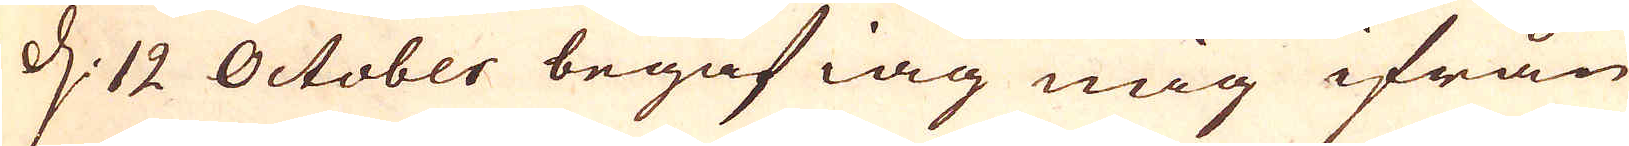d: 12 October begaf iag mig ifrån
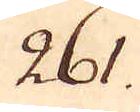261.
